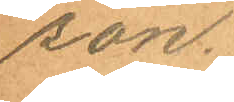son.
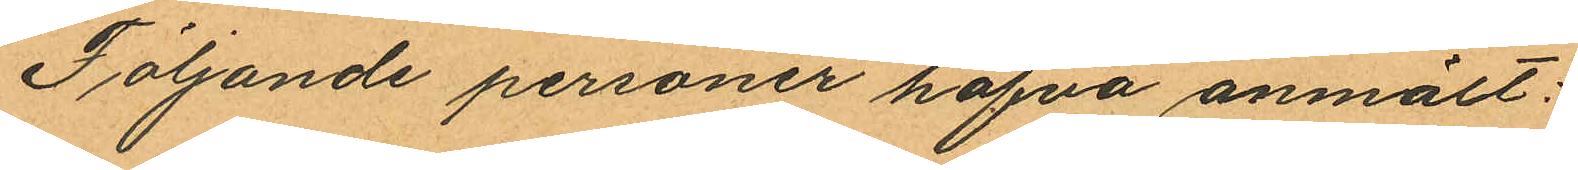Följande personer hafva anmält:
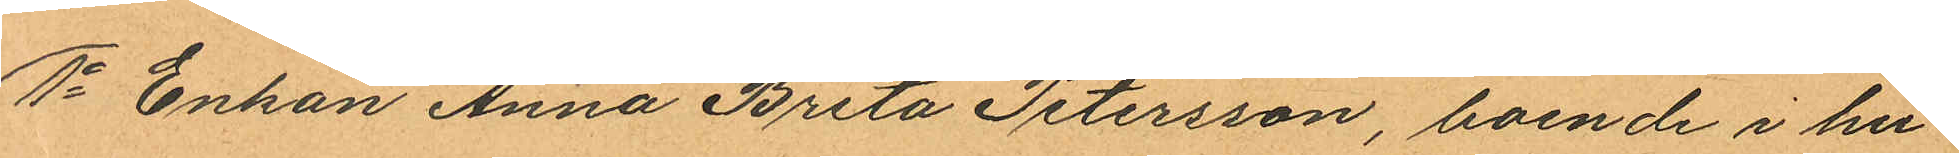1o Enkan Anna Brita Petersson, boende i hu¬
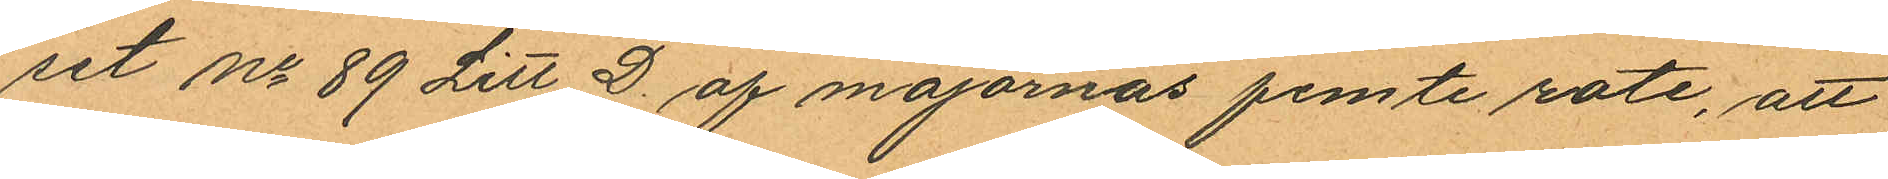set No 89 Litt D. af majornas femte rote, att
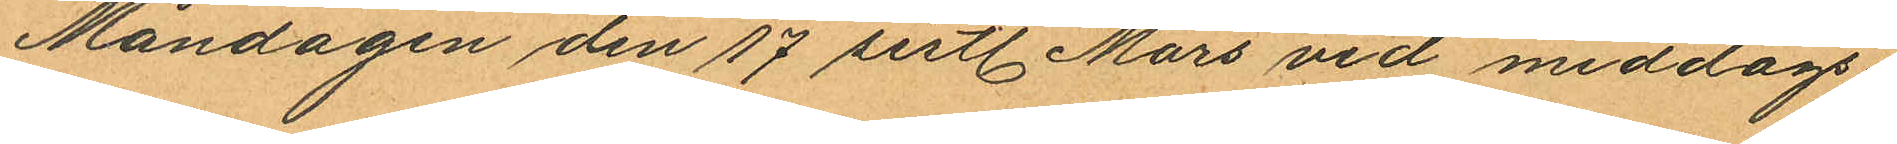Måndagen den 17 sistl. Mars vid middags¬
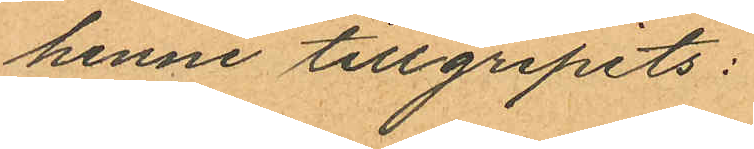henne tillgripits:
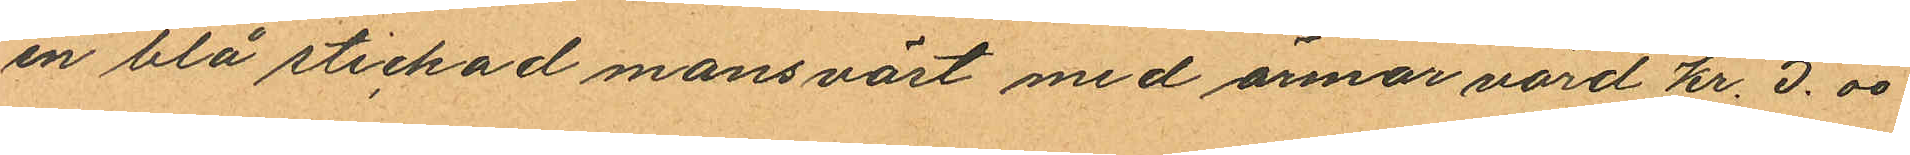en blå stickad mansväst med ärmar värd kr. 5.00
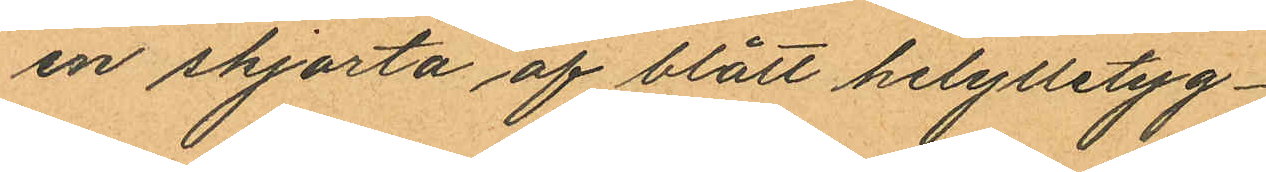en skjorta af blått helylletyg
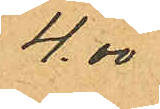4.00
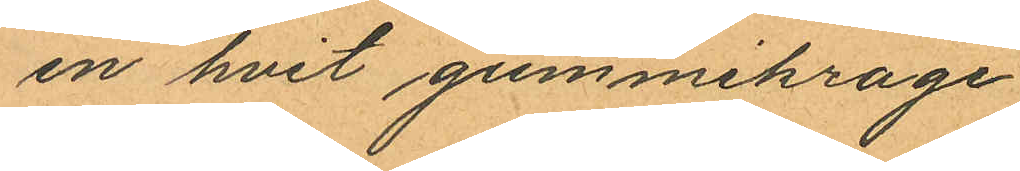en hvit gummikrage
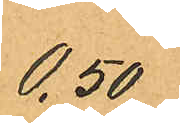0.50
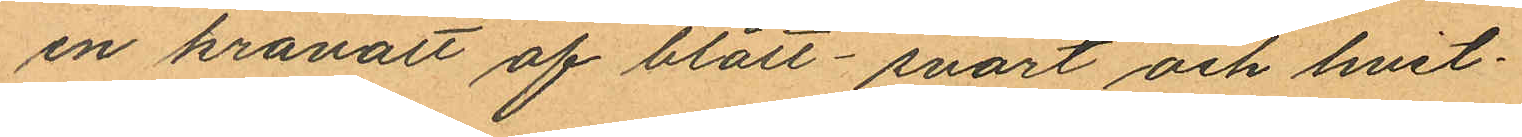en kravatt af blått- svart och hvit¬
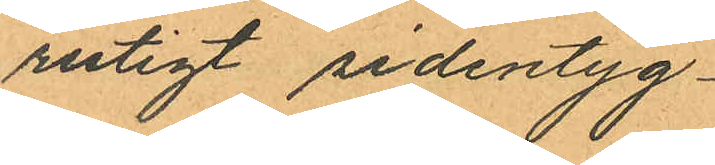rutigt sidentyg
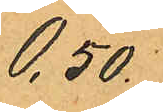0.50.
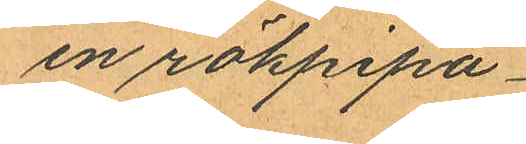en rökpipa
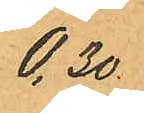0.30
